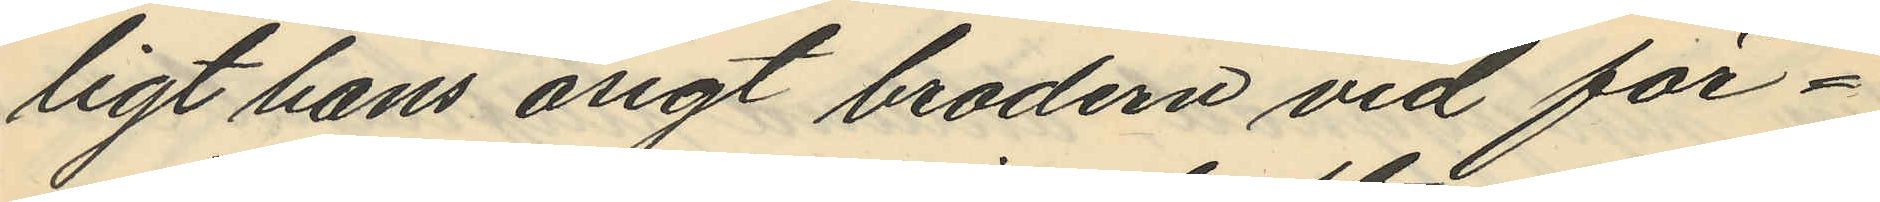ligt hans åsigt brodern vid för¬
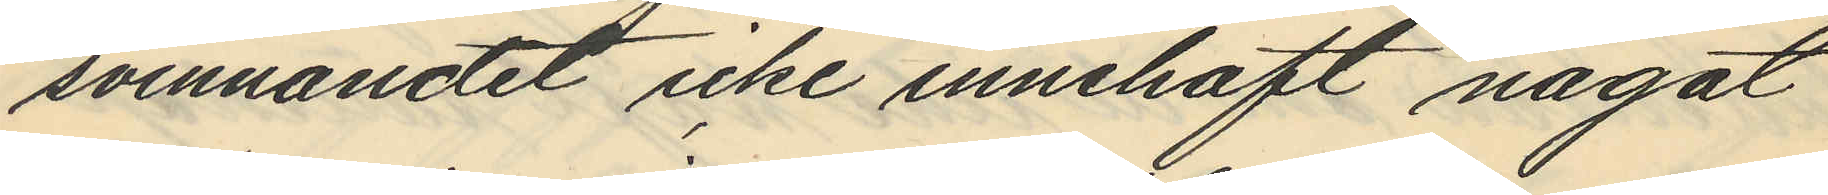svinnandet icke innehaft något
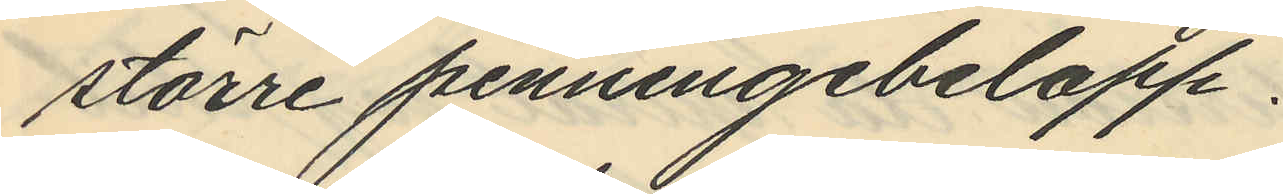större penningebelopp.
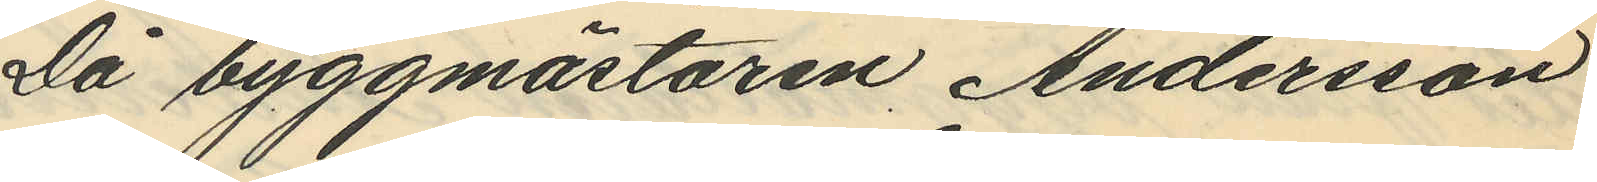Då byggmästaren, Andersson
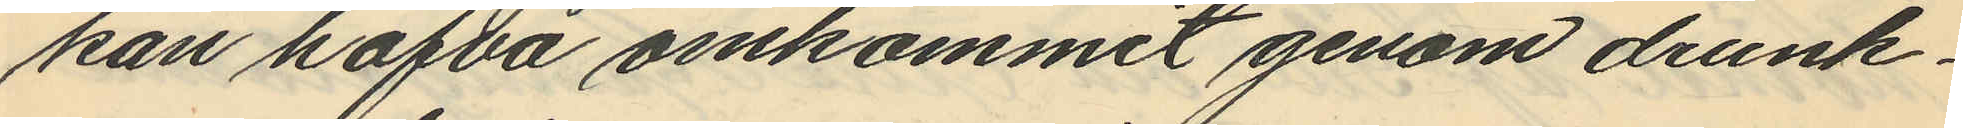kan hafva omkommit genom drunk¬
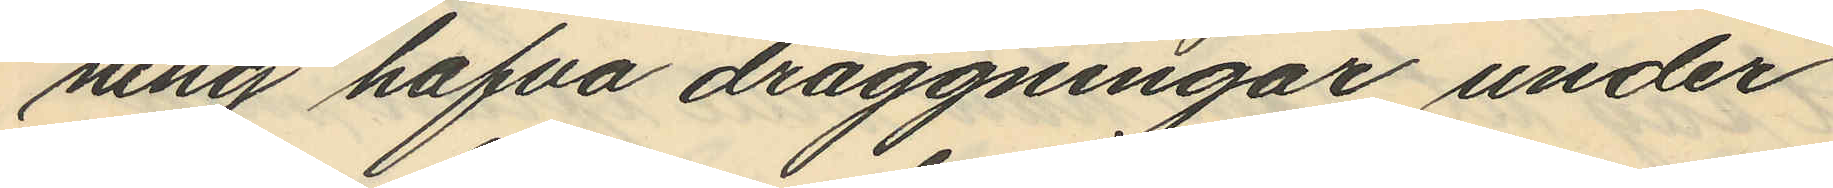ning hafva draggningar under
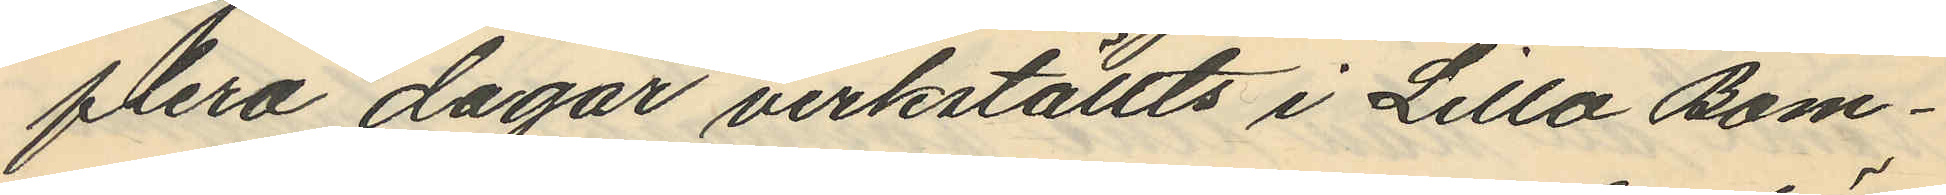flera dagar verkställts i Lilla Bom¬
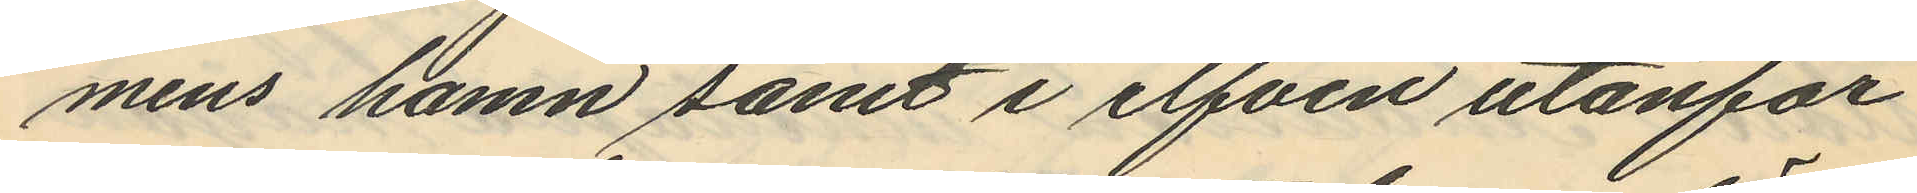mens hamn samt i elfven utanför
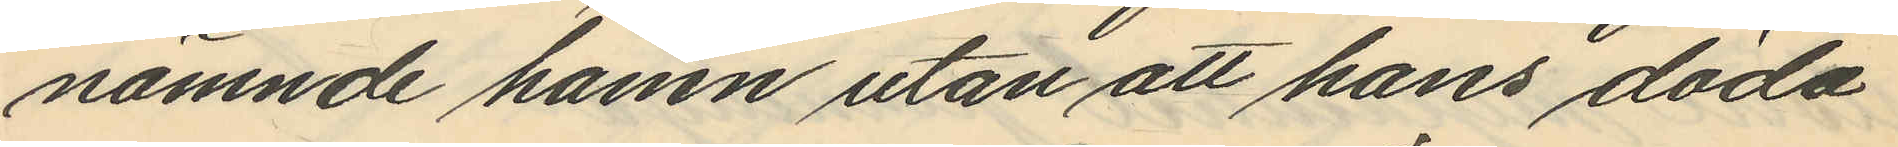nämnde hamn utan att hans döda
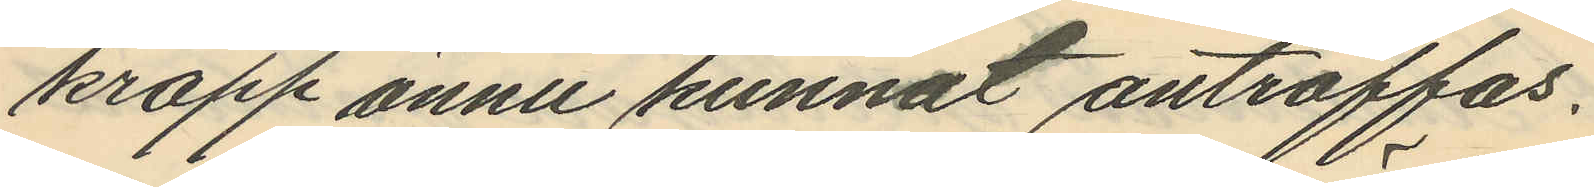kropp ännu kunnat anträffas.
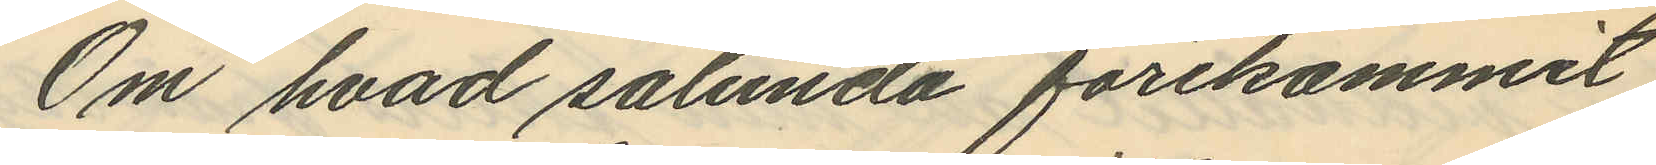Om hvad sålunda förekommit
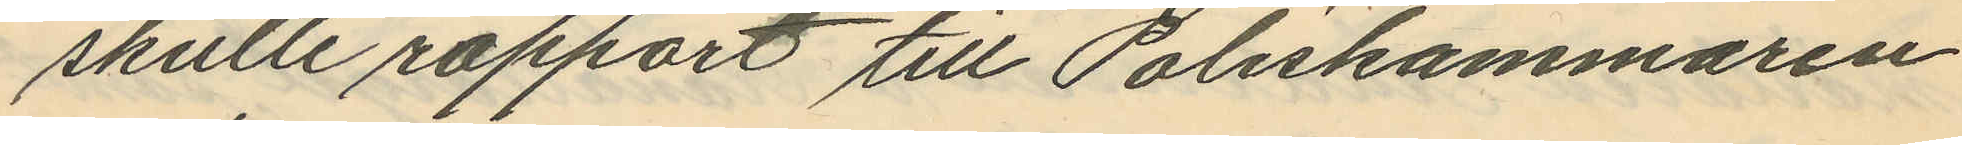skulle rapport till Poliskammaren
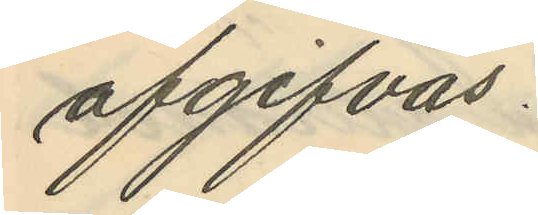afgifvas.
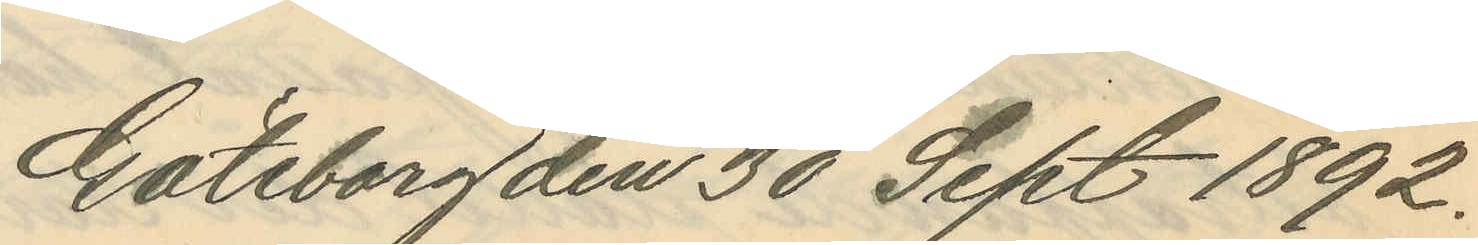Göteborg den 30 Sept. 1892.
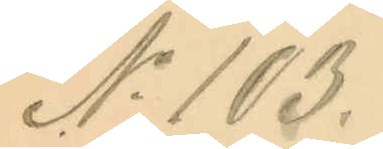No 103.
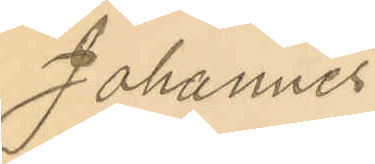Johannes
